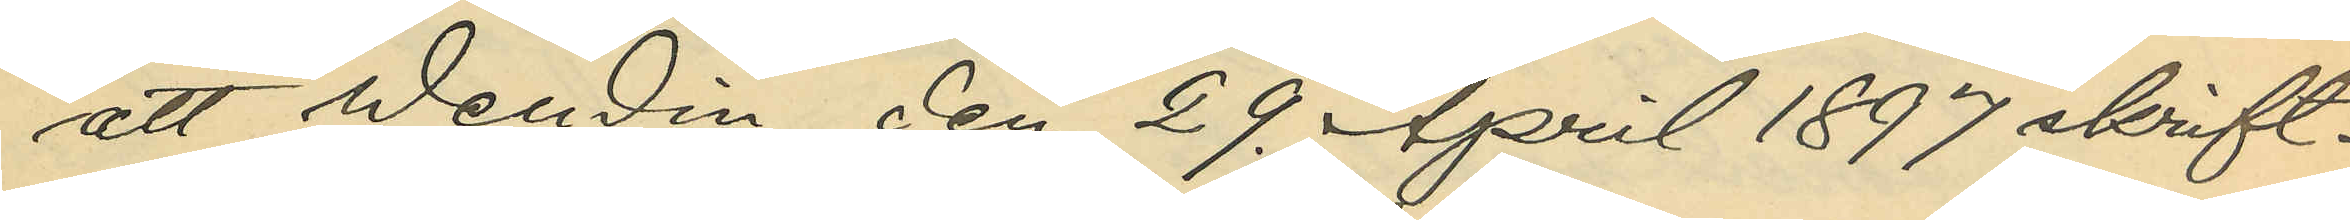att Wendin den 29. April 1897 skrift¬
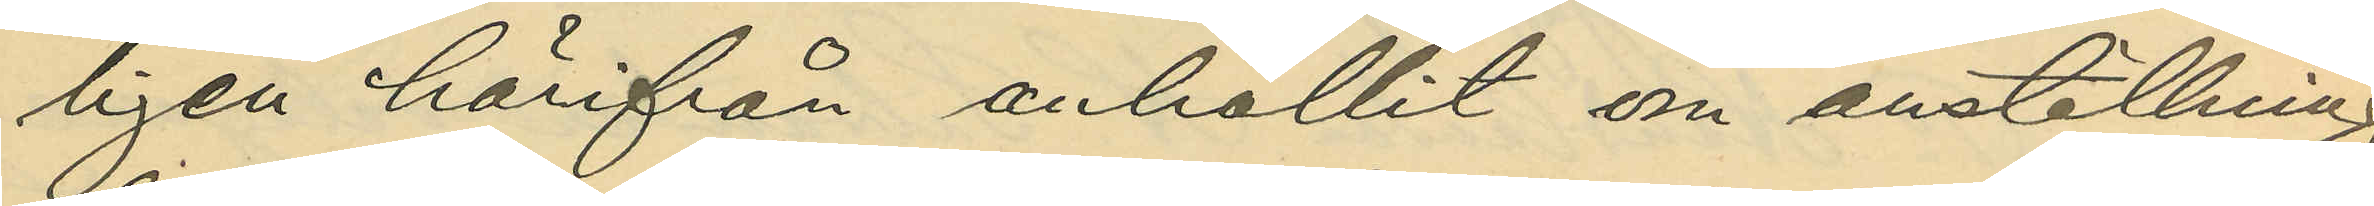ligen härifrån anhållit om anställning
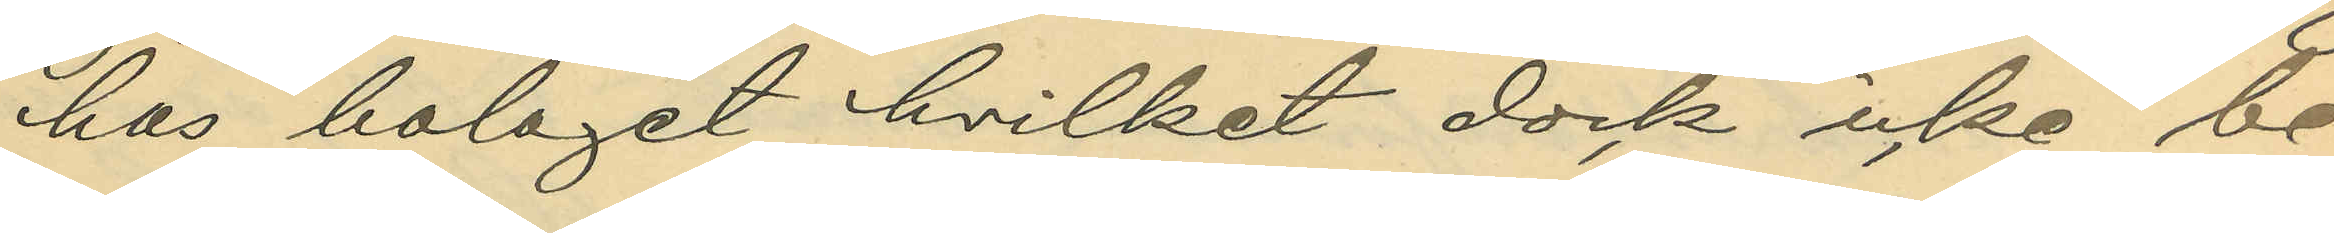hos bolaget, hvilket dock icke be¬
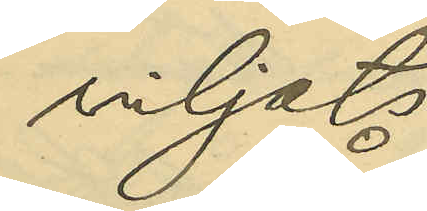viljats.
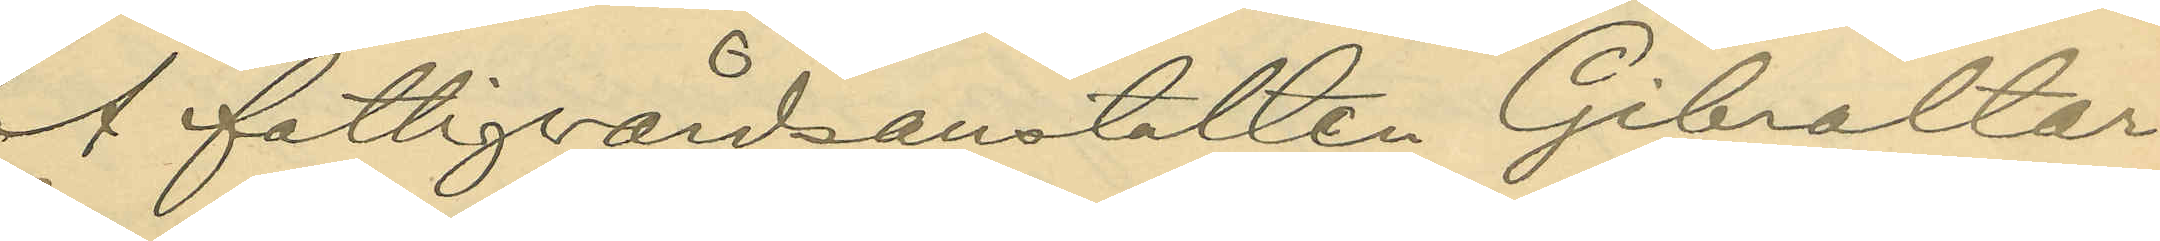Å fattigvårdsanstalten Gibraltar
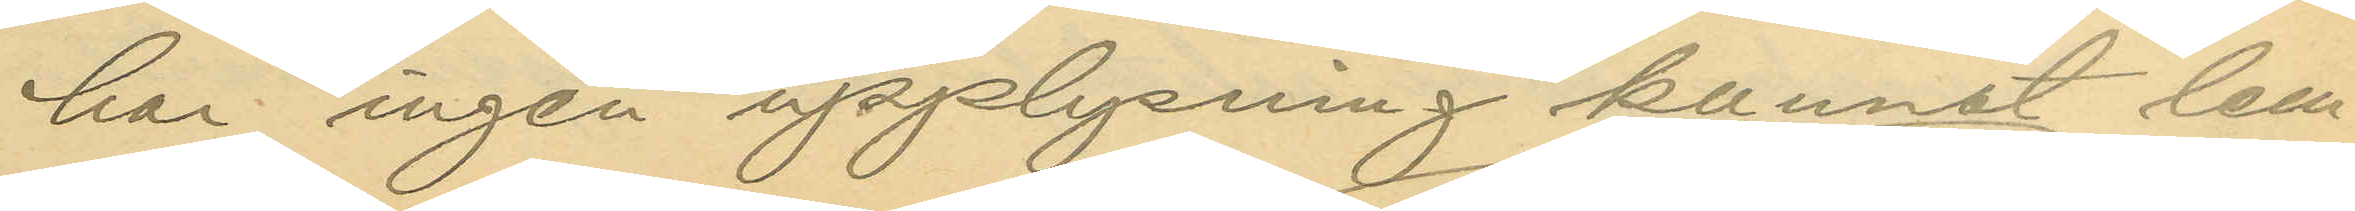har ingen upplysning kunnat lem¬
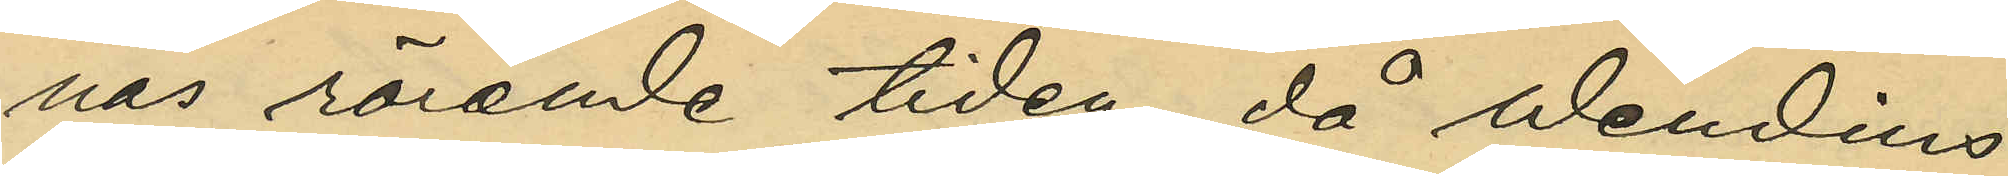nas rörande tiden, då Wendins
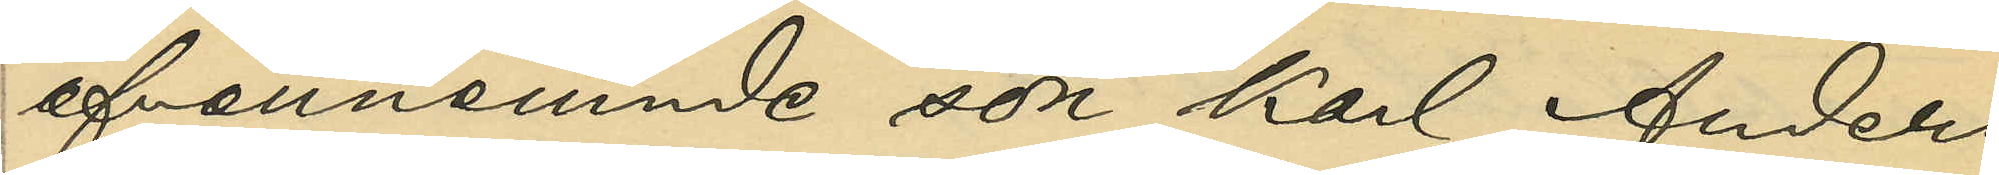ofvannämnde son Karl Anders
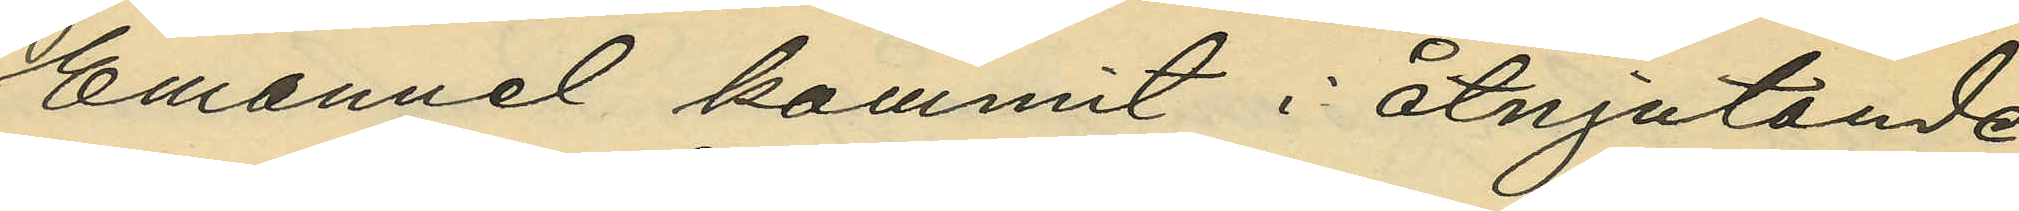Emanuel kommit i åtnjutande
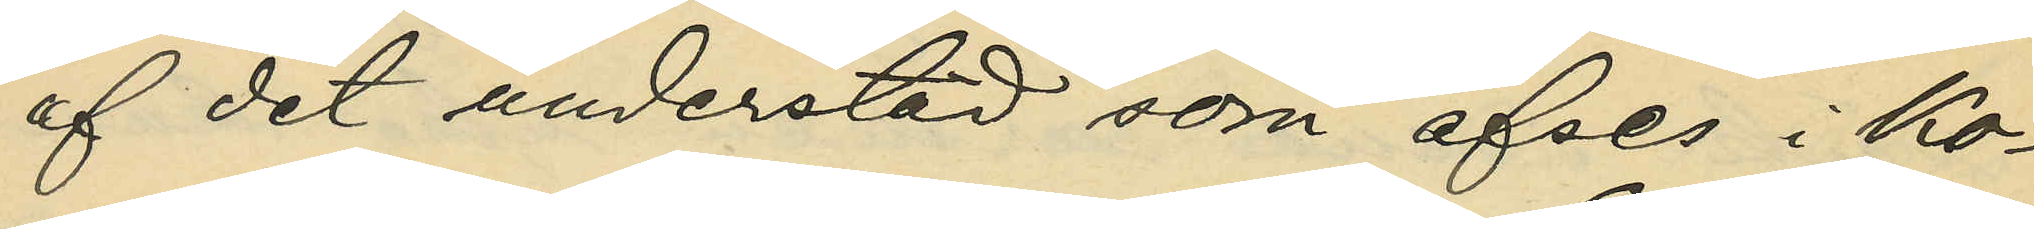af det understöd som afses i Ko¬
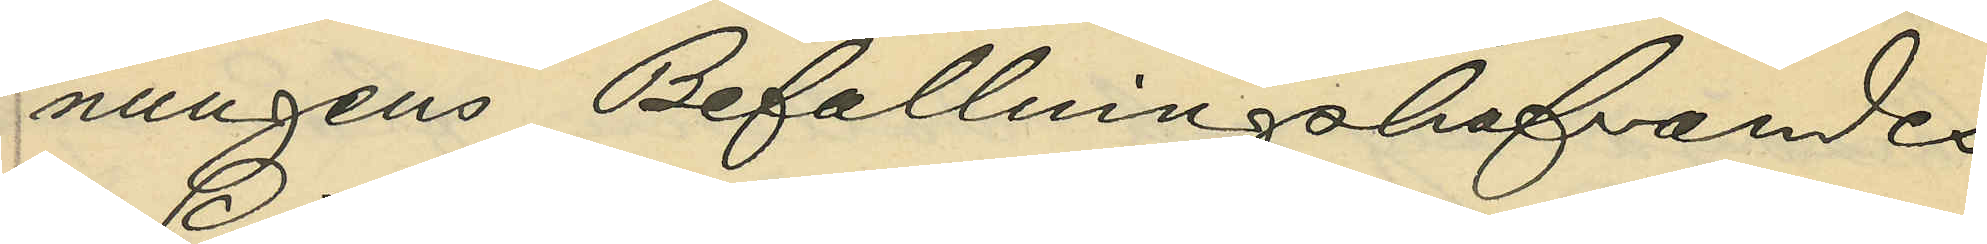nungens Befallningshafvandes
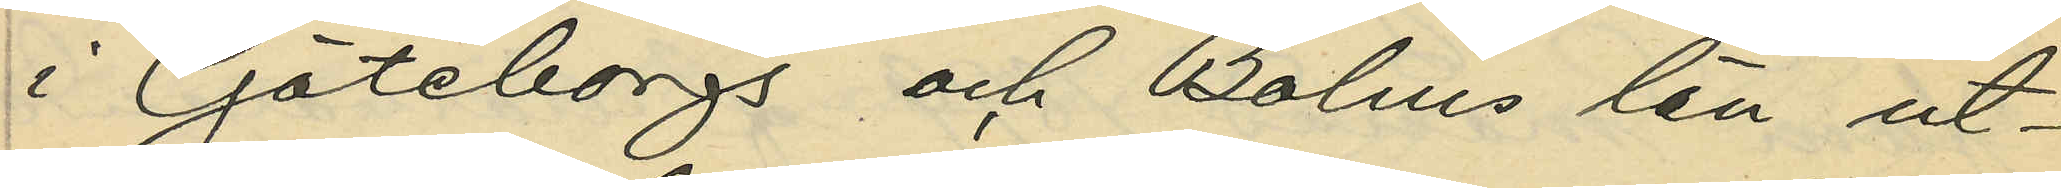i Göteborgs och Bohus län ut¬
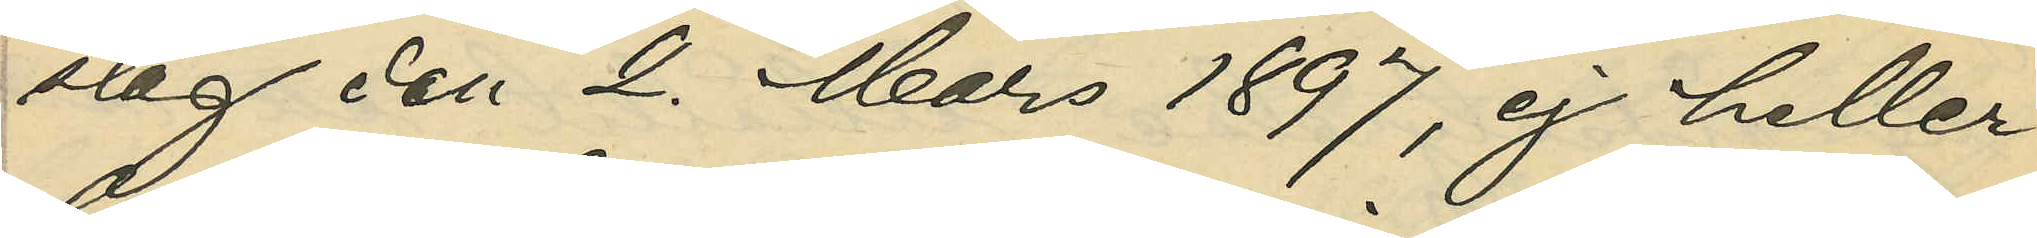slag den 2. Mars 1897, ej heller
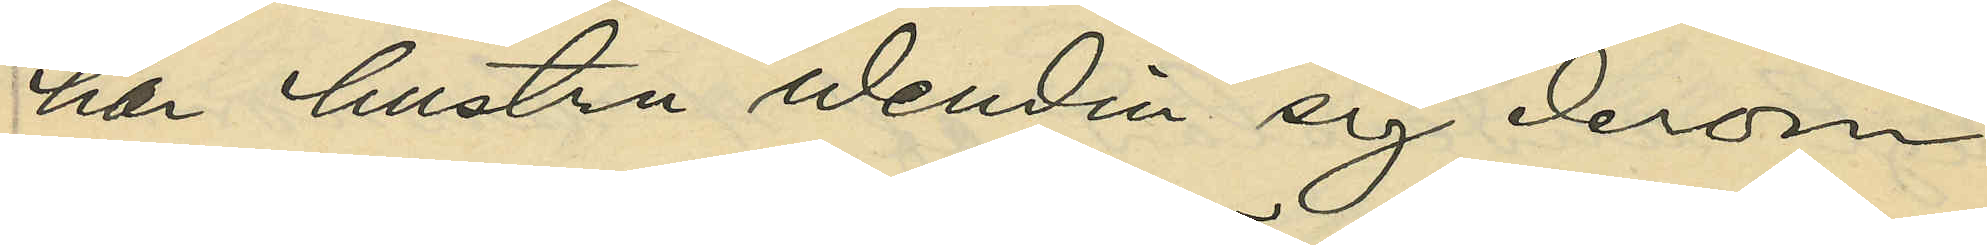har hustru Wendin sig derom
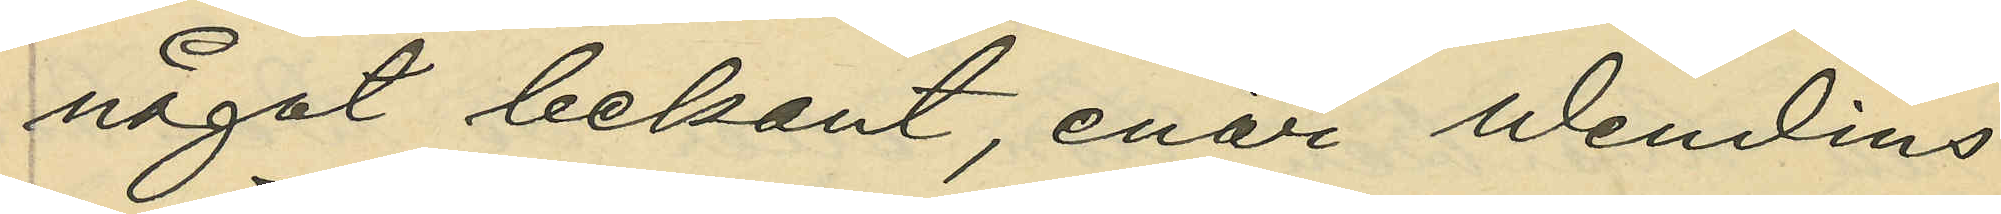något bekant, enär Wendins
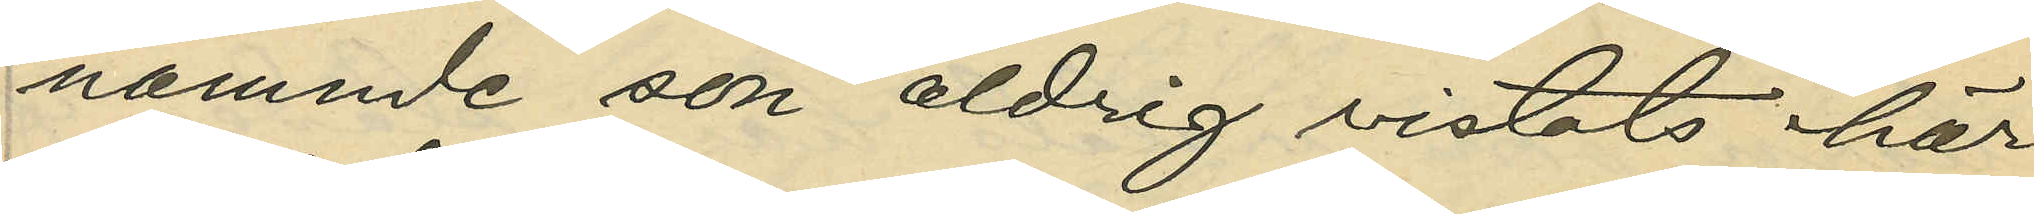nämnde son aldrig vistats här
